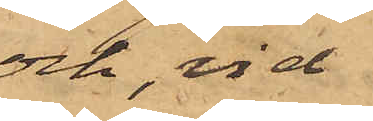och, vid
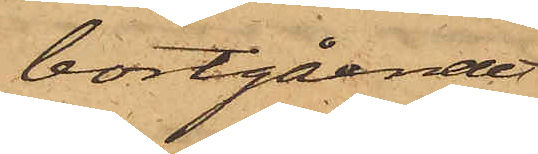bortgåendet
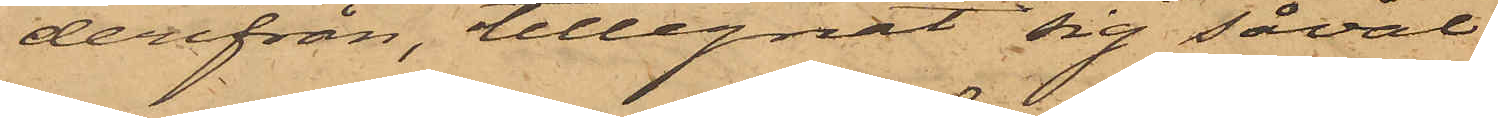derifrån, tillegnat sig såväl
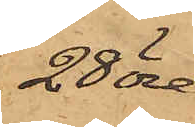28 öre
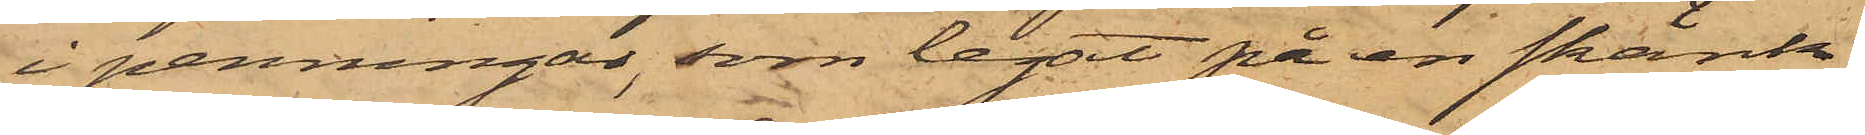i penningar, som legat på en skänk,
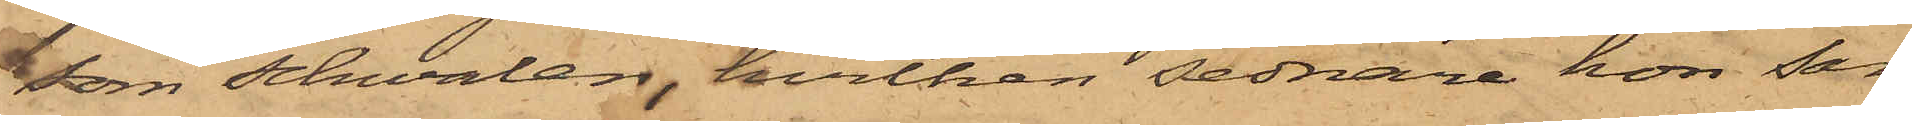som schwalen, hvilken sednare hon sam¬
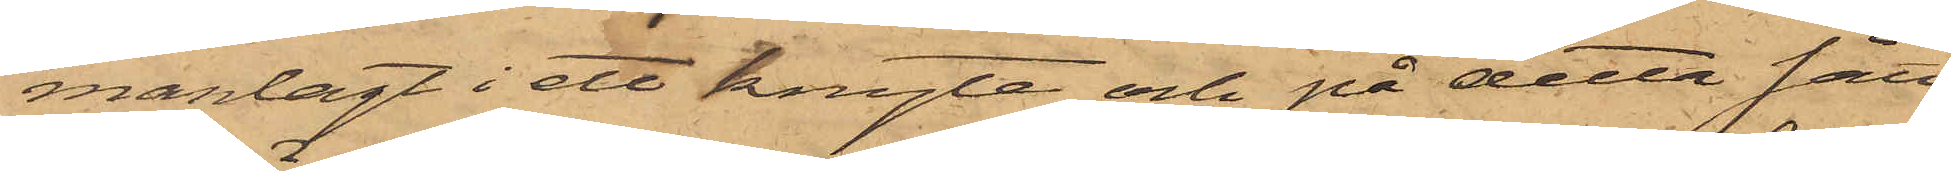manlagt i ett knyte och på detta sätt
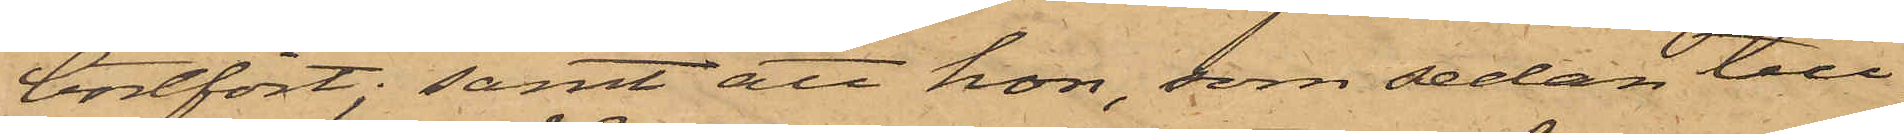bortfört; samt att hon, som sedan till¬
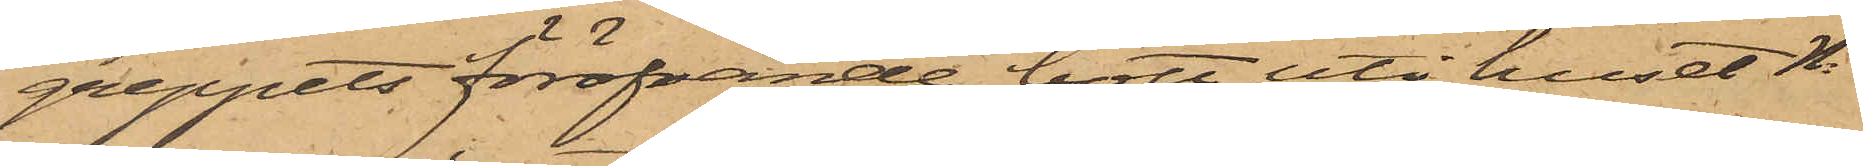greppets föröfvande bott uti huset No      
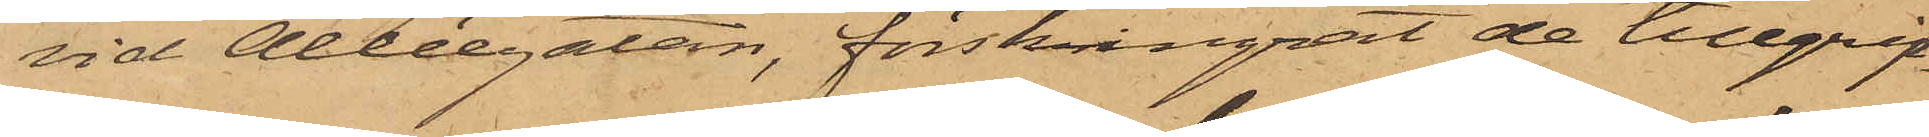vid Alléegatan, förskingrat de tillgrip¬
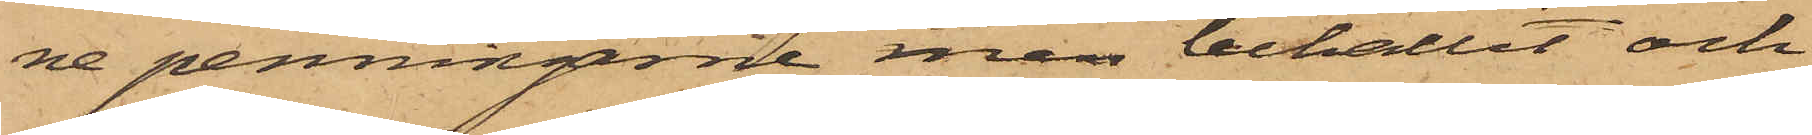ne penningarne men behållit och
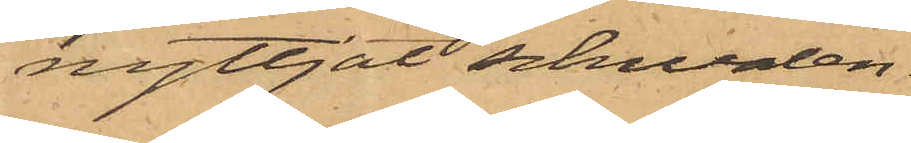nyttjat schwalen.
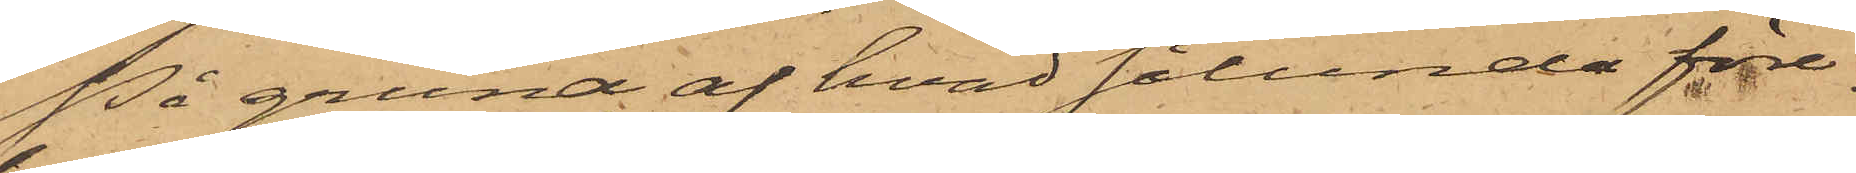På grund af hvad sålunda före¬
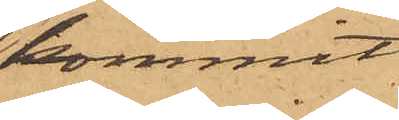kommit
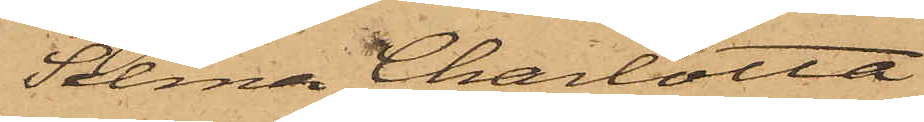Selma Charlotta
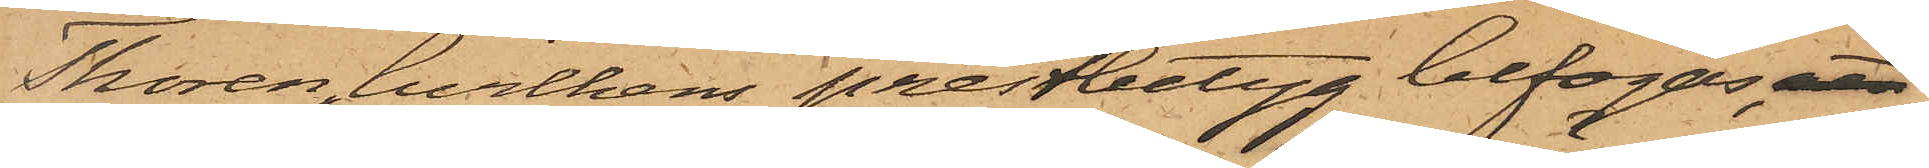Thorén, hvilkens prestbetyg bifogas, att
